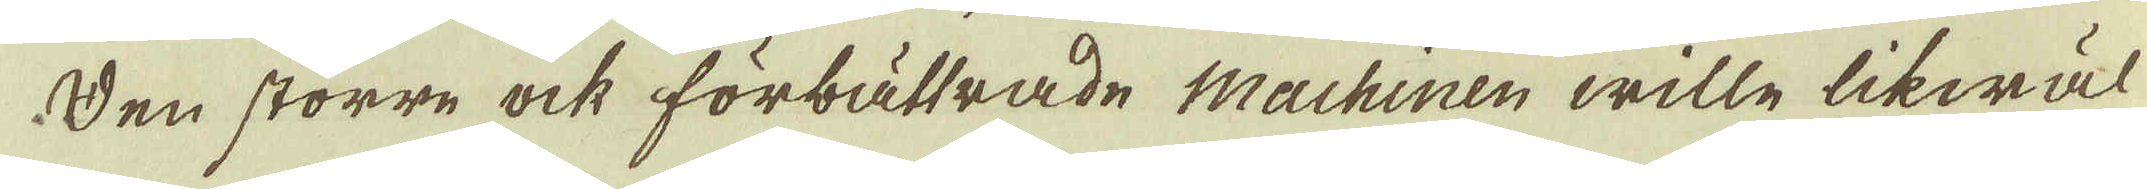Den större ock förbättrade Machinen wille likwäl
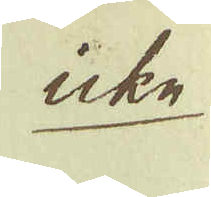icke
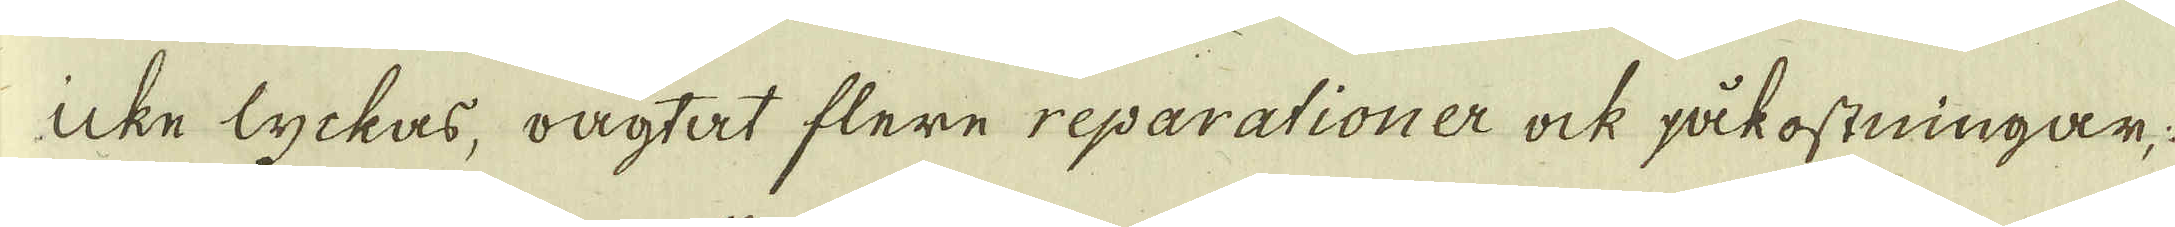icke lyckas, oagtat flere reparationer ock påkostningar;
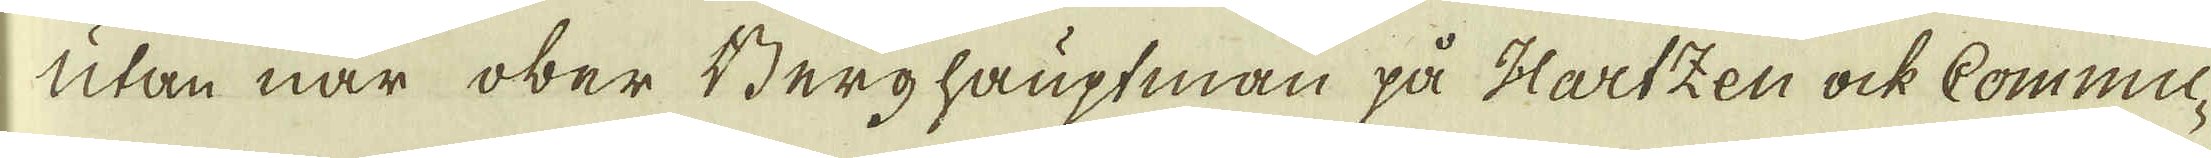utan när ober Berghauptman på Hartzen ock Commu-
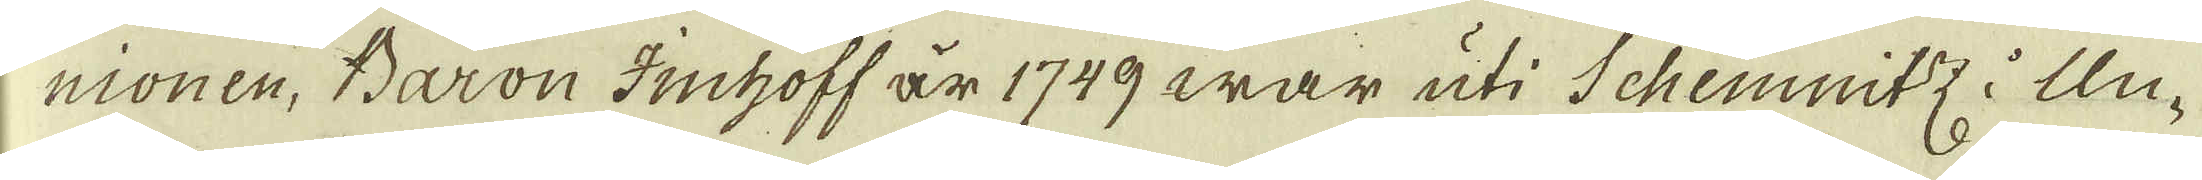nionen, Baron Imhoff är 1749 war uti Schemnitz i Un-
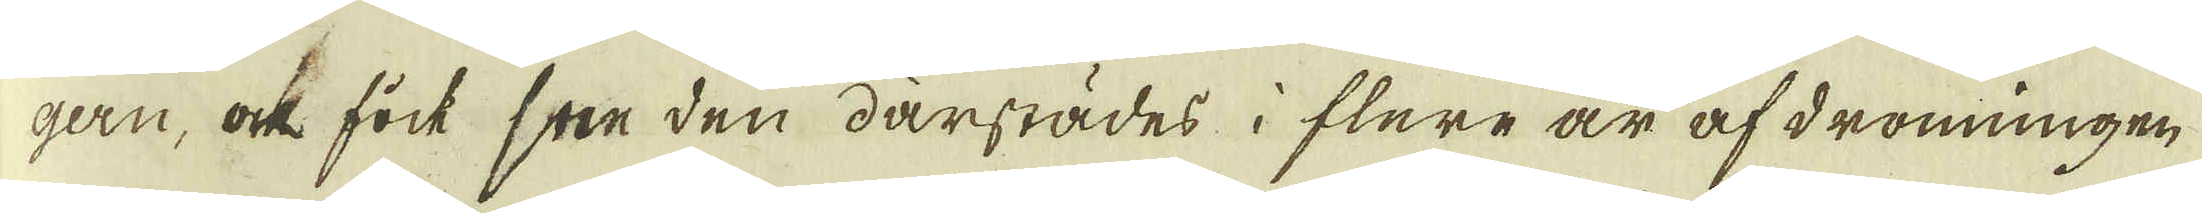gen, ock sock sne den därstädes i flere är afdronningen
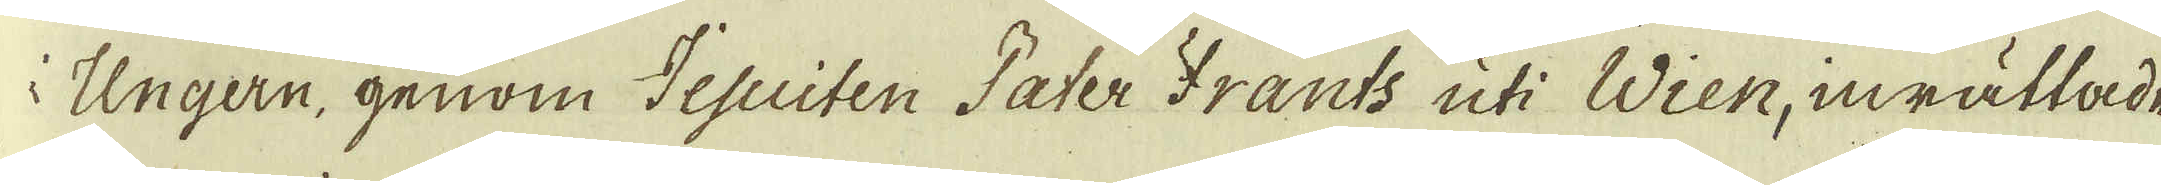i Ungern, genom Jesuiten Fater Frants uti Wien, inrättade
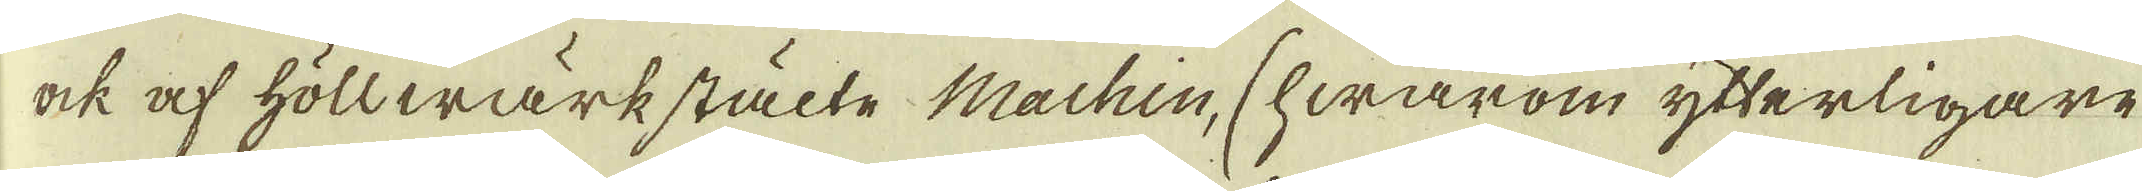ock af höllwärkstälte Machin, (hwarom ytterligare
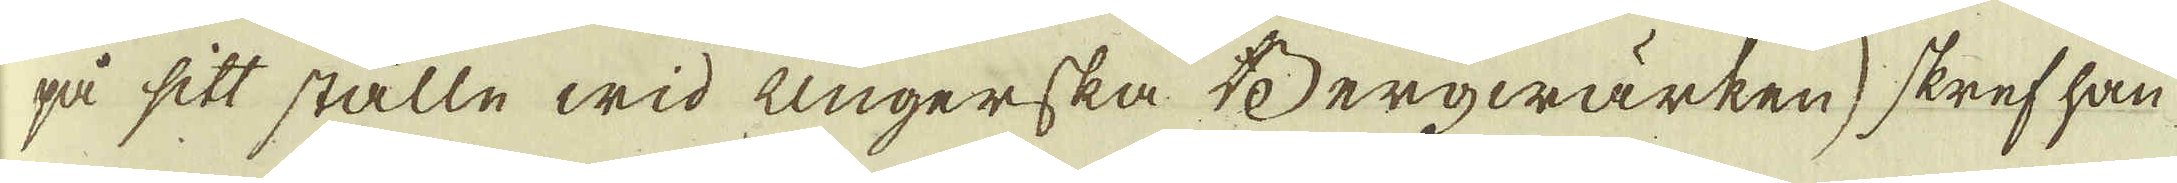på sitt ställe wid ungerska Bergwärken) skref han
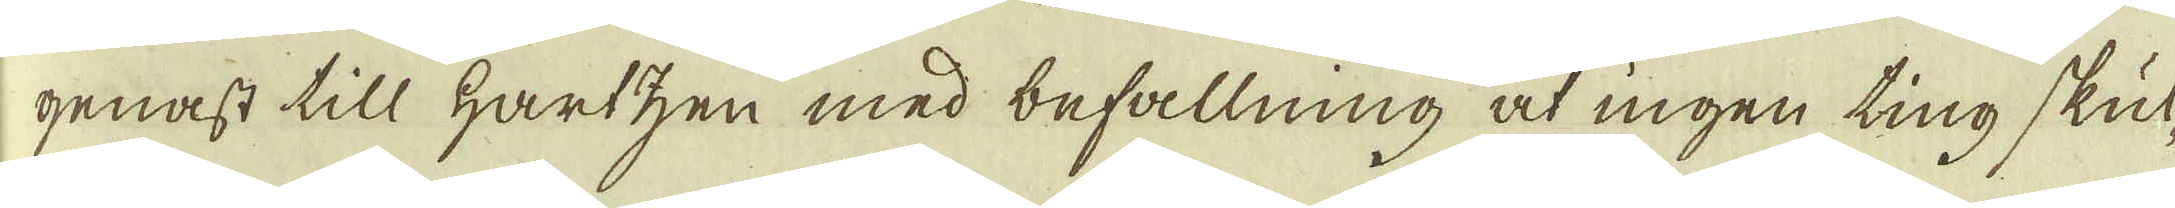genast till Hartzen med befallning at ingen ting skul-
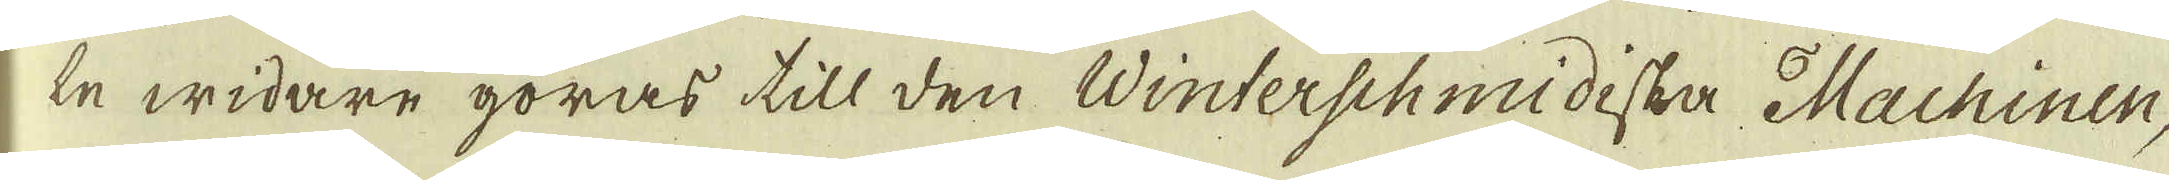de widare göras till den Winterschmidiska Machinen,
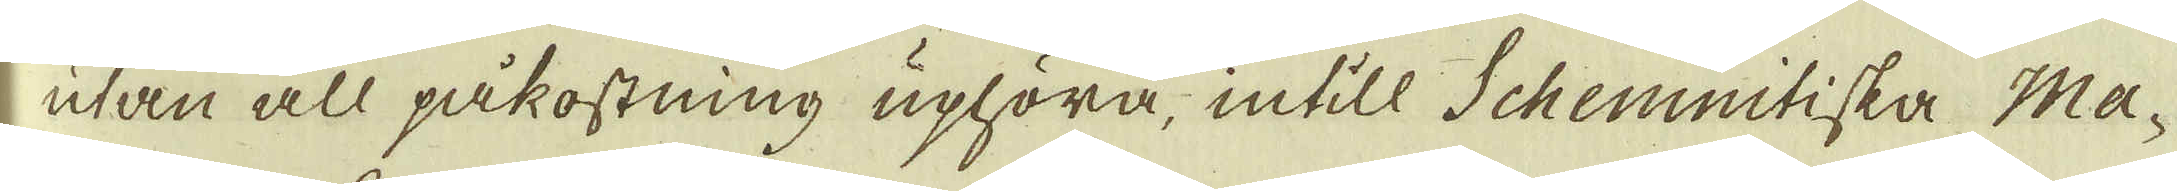utan all påkostning uphöra, intill Schemnitiska Ma-
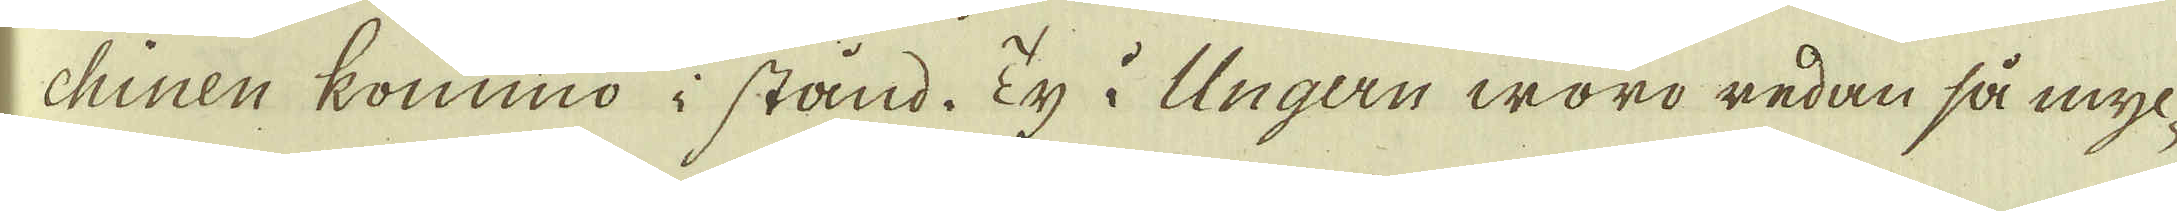chinen kommo i stånd. Ty i Ungen woro redan så myc-
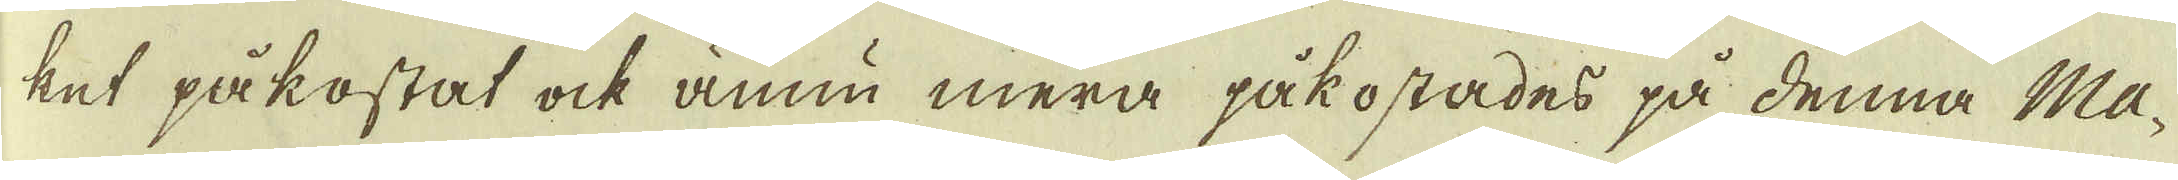ket påkostat ock ännu mera påkostades på denna Ma-
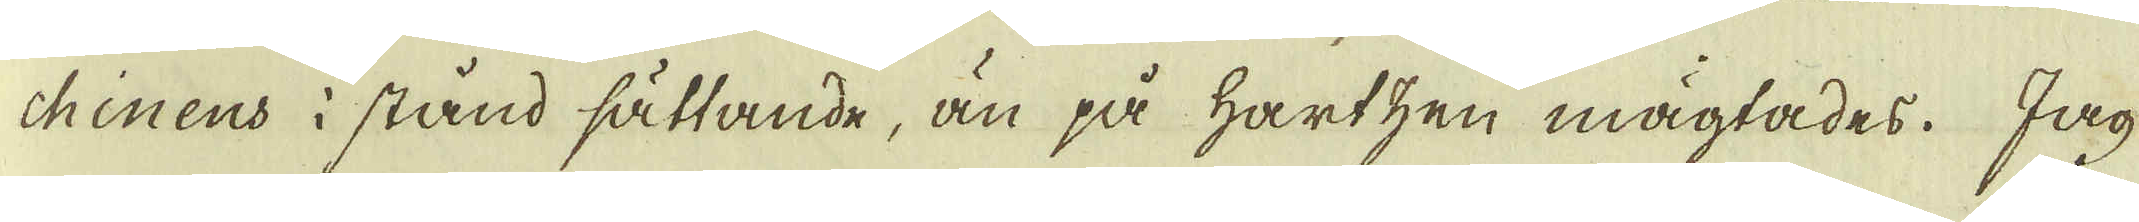chinens i stånd sättande, än på Hartzen mägtades. Jag
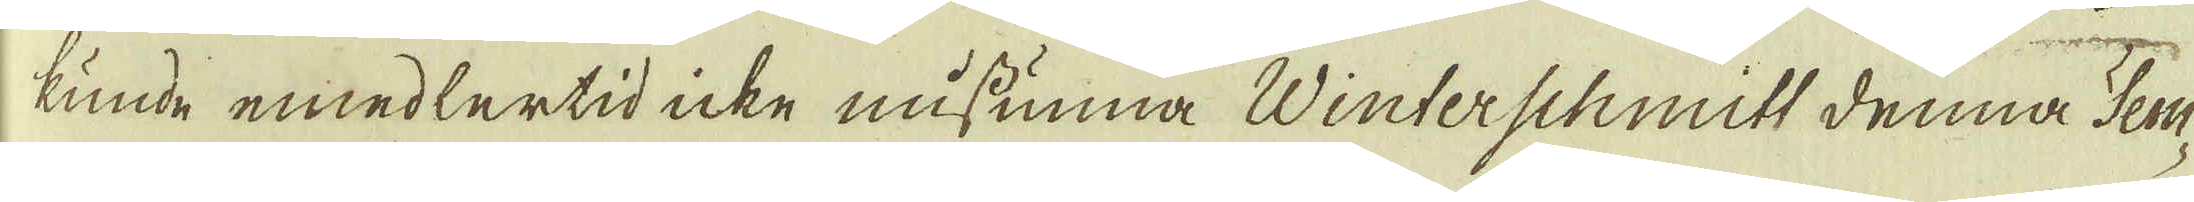kunde emedlertid icke missunna Winterschmitt denna Ter-
